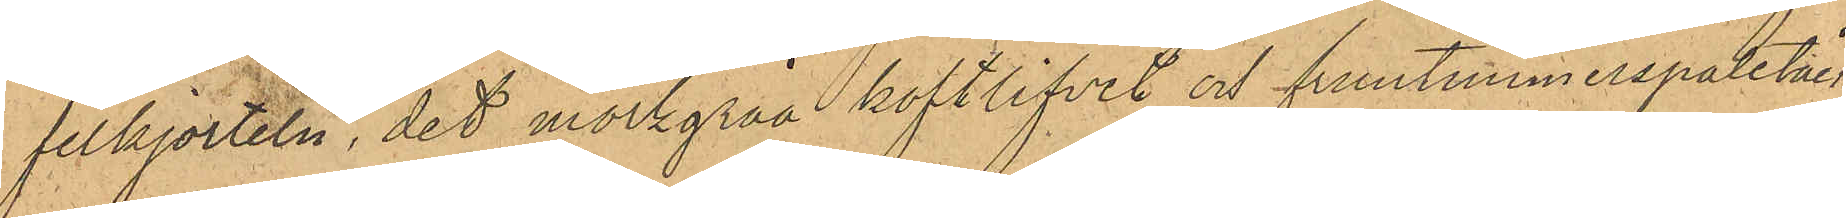felkjorteln, det mörkgråa koftlifvet och fruntimmerspaletån,
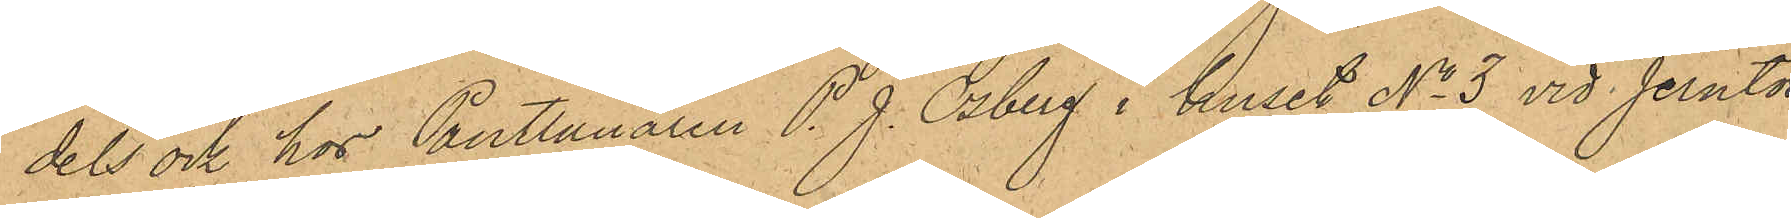dels ock hos Pantlånaren P. J. Osberg i huset No 3 vid Jerntor¬
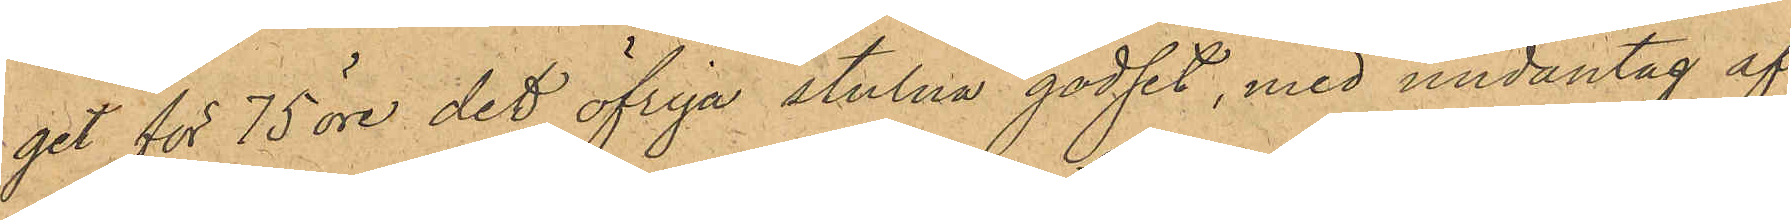get för 75 öre det öfriga stulna godset, med undantag af
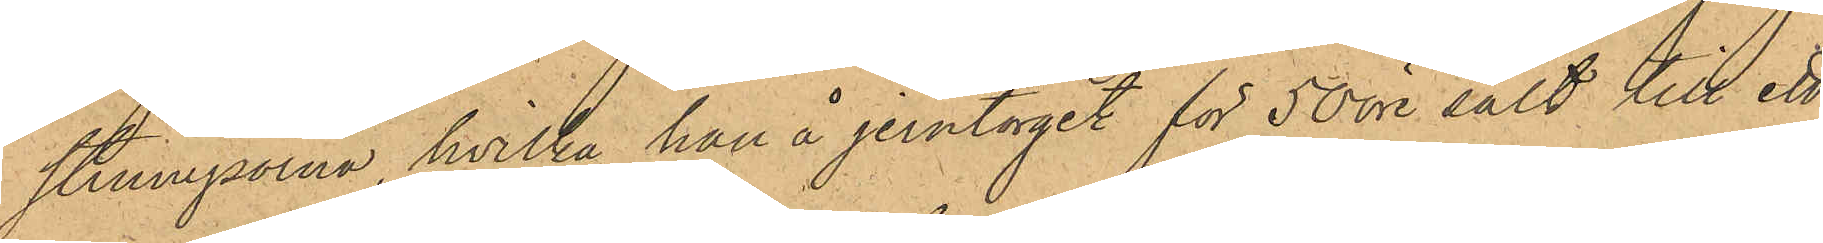strumporna, hvilka han å jerntorget för 50 öre sålt till ett
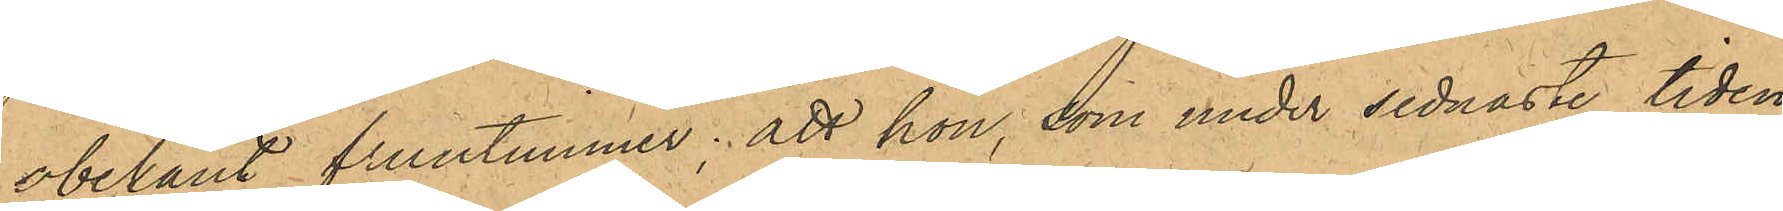obekant fruntimmer; att hon, som under sednaste tiden
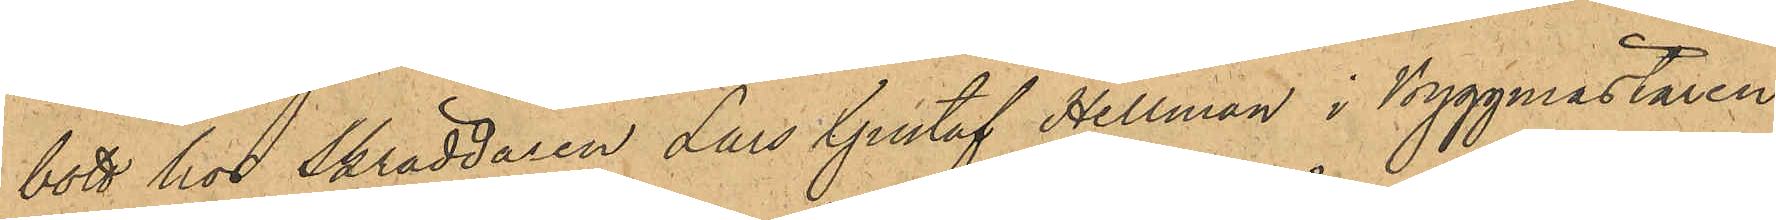bott hos Skräddaren Lars Gustaf Hellman i Byggmästaren
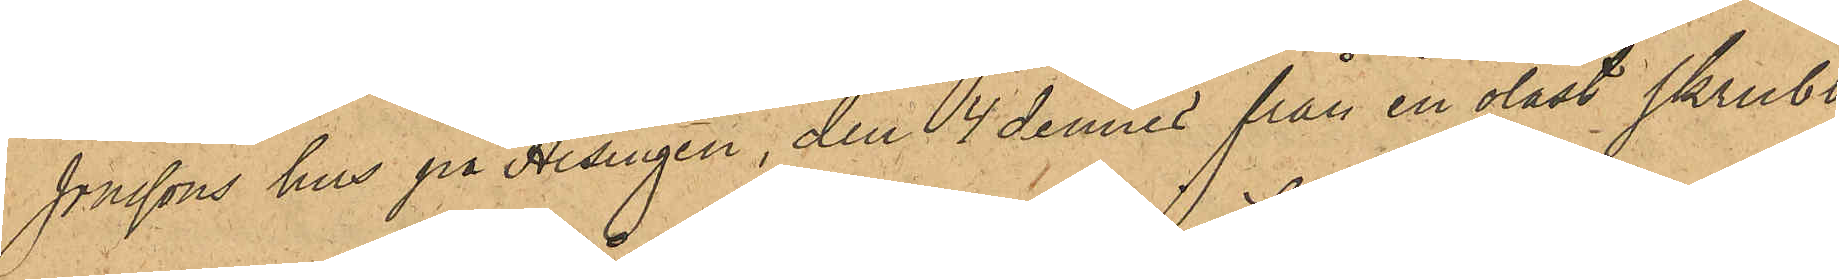Jönssons hus på Hisingen, den 4 dennes från en olåst skrubb
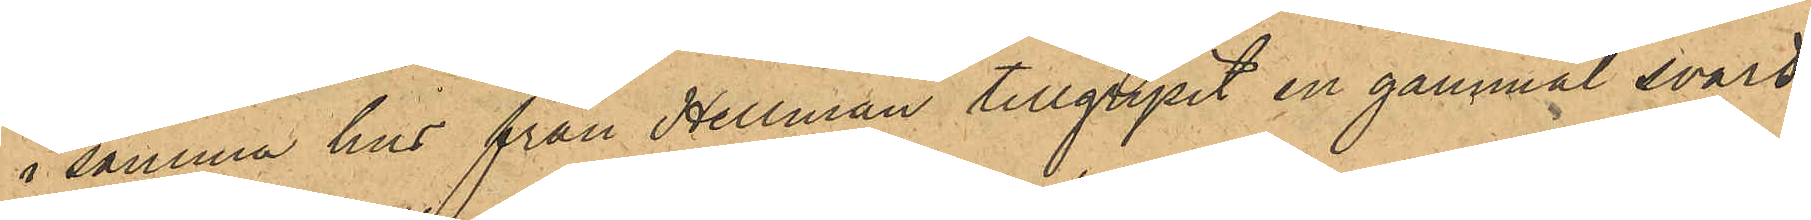i samma hus från Hellman tillgripit en gammal svart
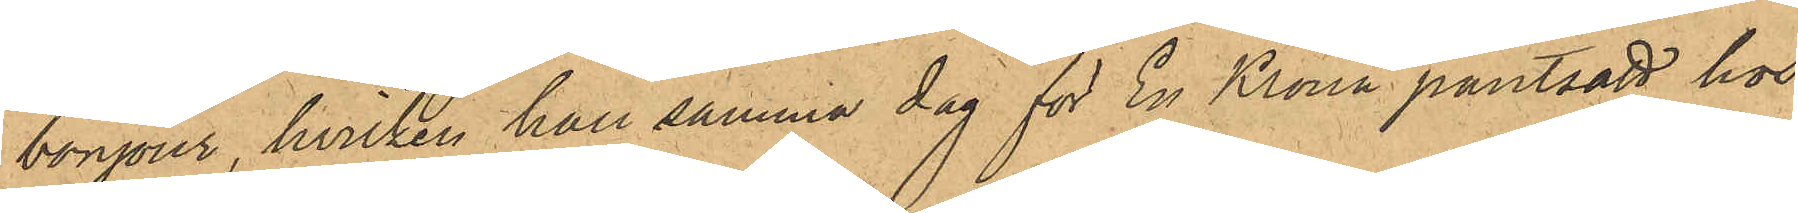bonjour, hvilken han samma dag för En Krona pantsatt hos
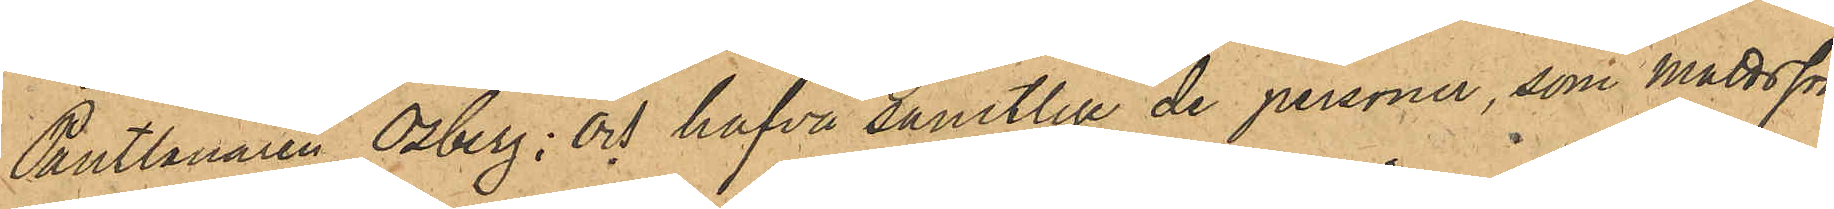Pantlånaren Osberg; och hafva samtlige de personer, som Mattsson
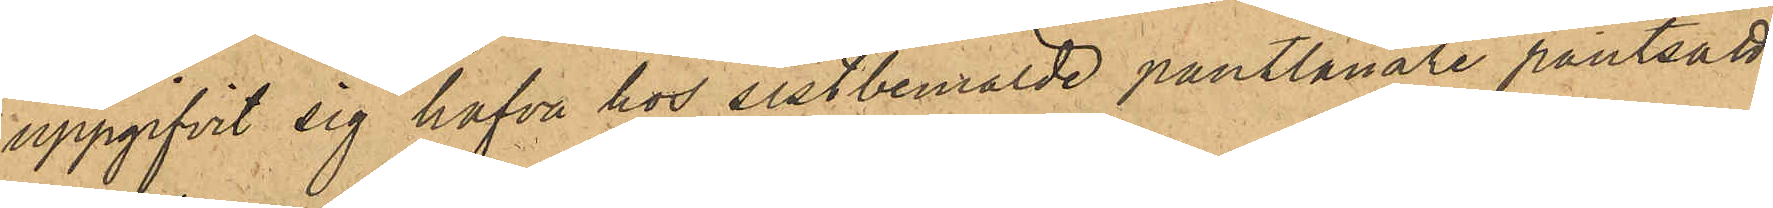uppgifvit sig hafva hos sistbemälde pantlånare pantsatt,
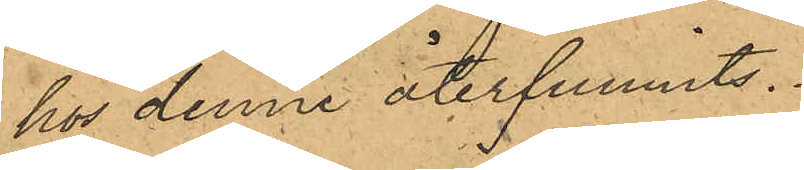hos denne återfunnits.
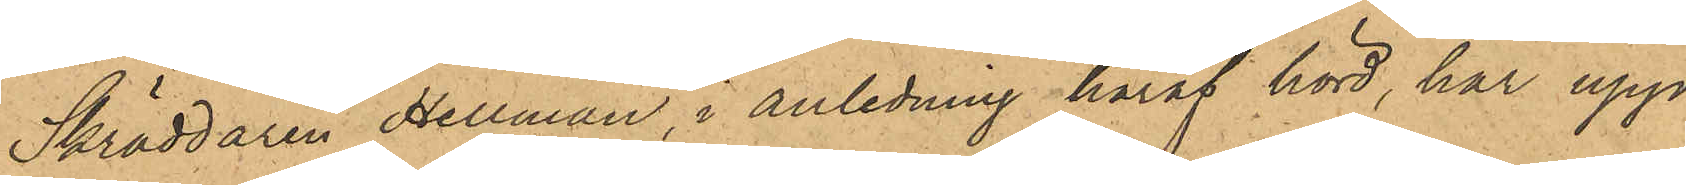Skräddaren Hellman, i anledning häraf hörd, har upp¬
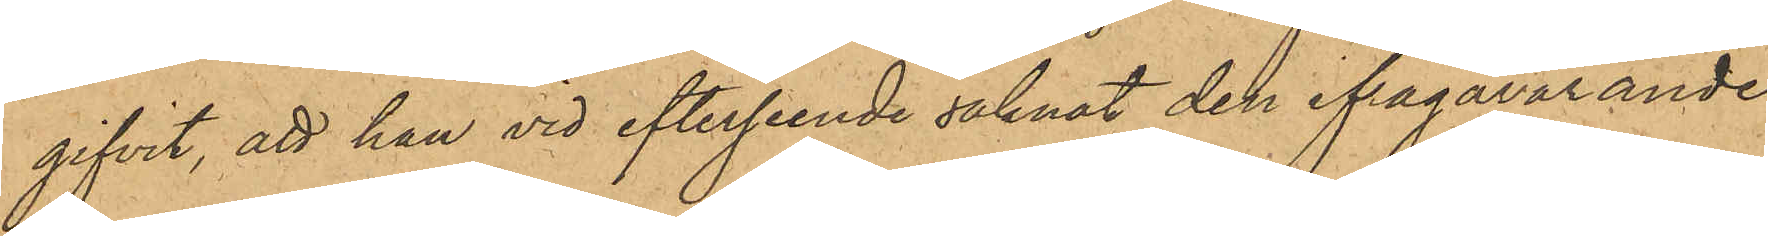gifvit, att han vid efterseende saknat den ifrågavarande
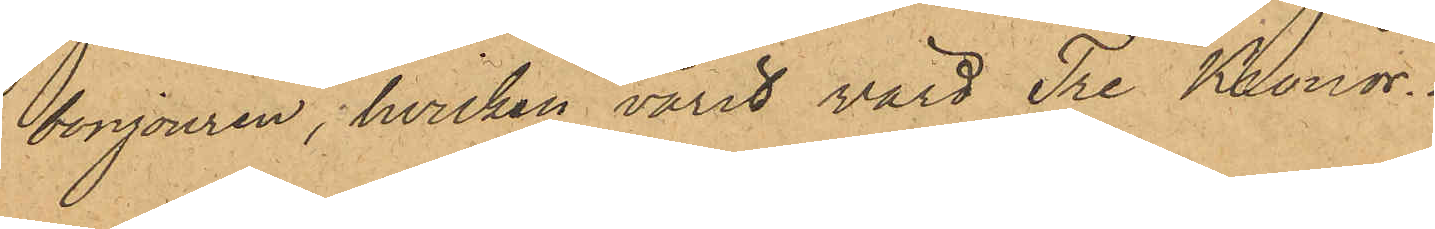bonjouren, hvilken varit värd Tre Kronor.
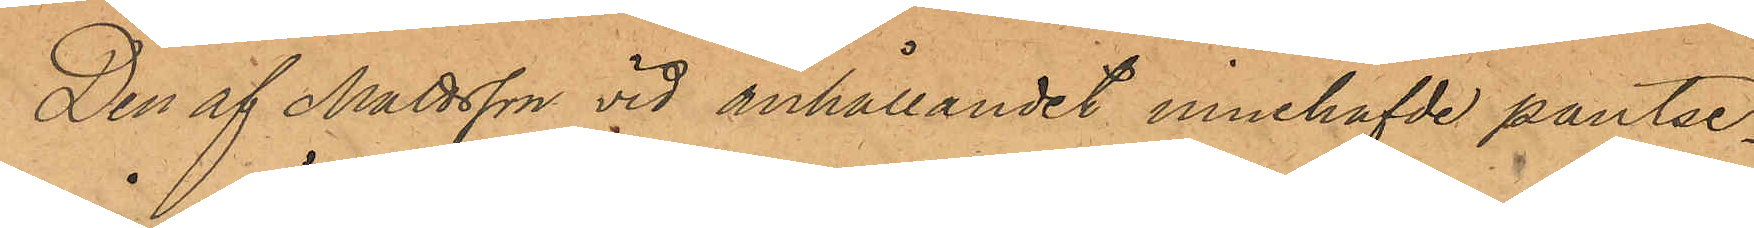Den af Mattsson vid anhållandet innehafde pantse¬
